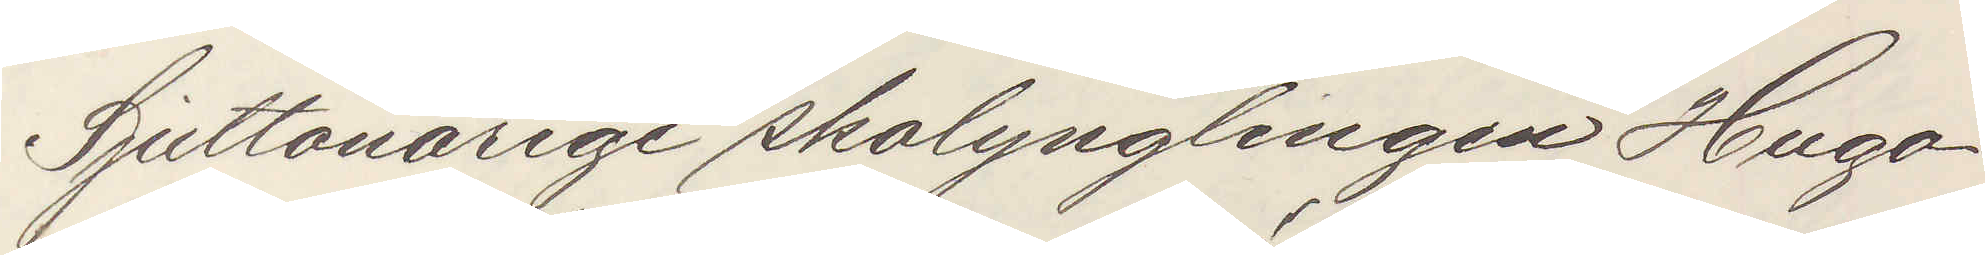Sjuttonårige skolynglingen Hugo
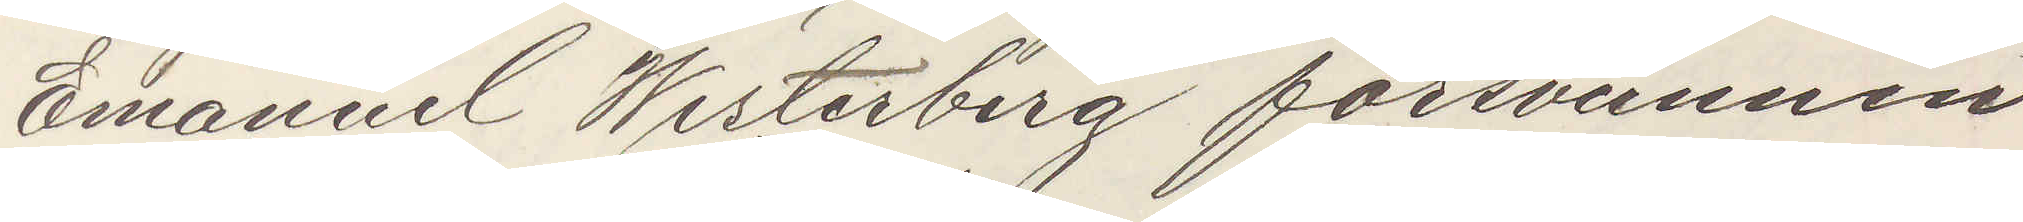Emanuel Westerberg försvunnen
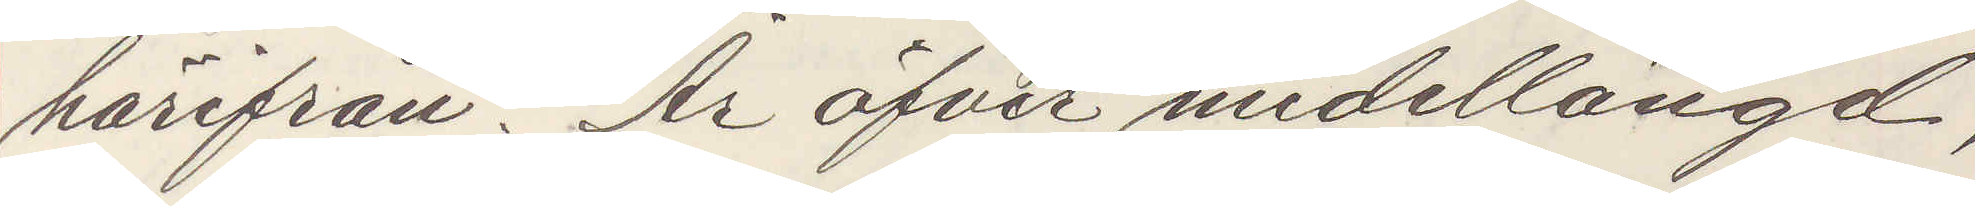härifrån. Är öfver medellängd,
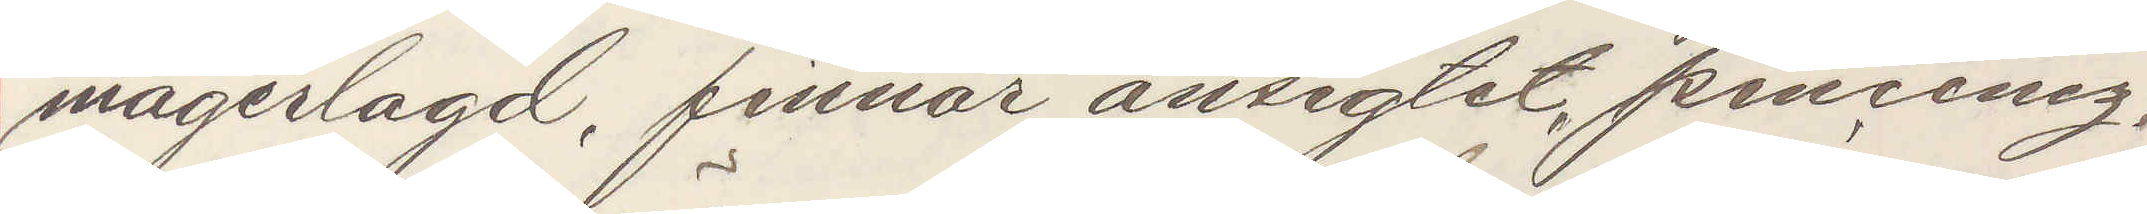magerlagd, finnar ansigtet, pincenez,
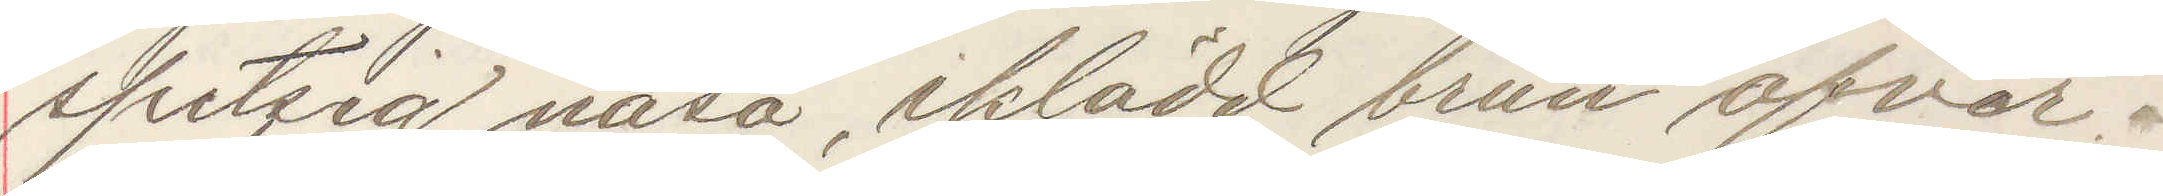spetsig näsa, iklädd brun öfver¬
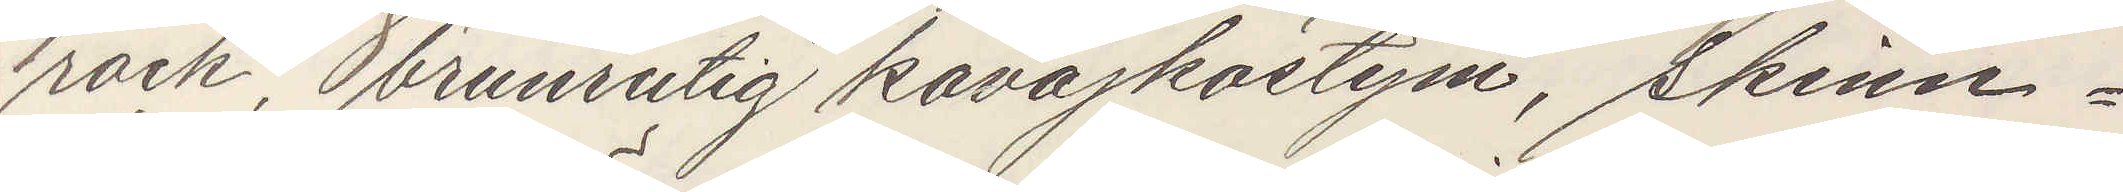rock, brunrutig kavajkostym, skinn¬
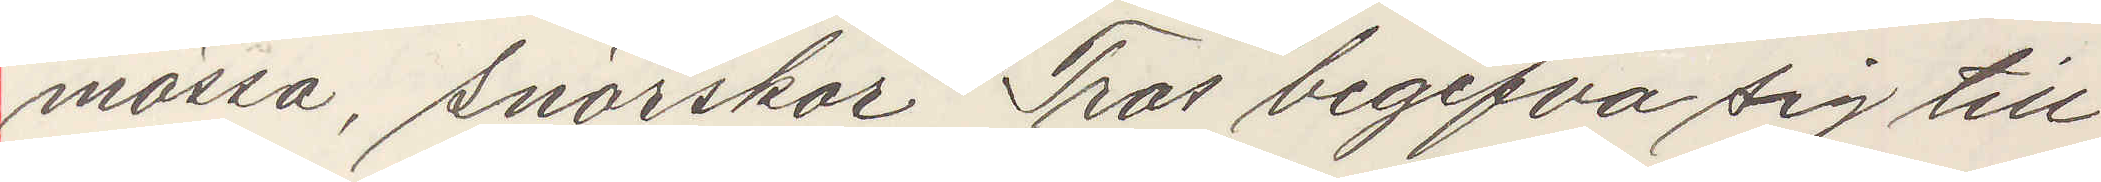mössa, snörskor. Tros begifva sig till
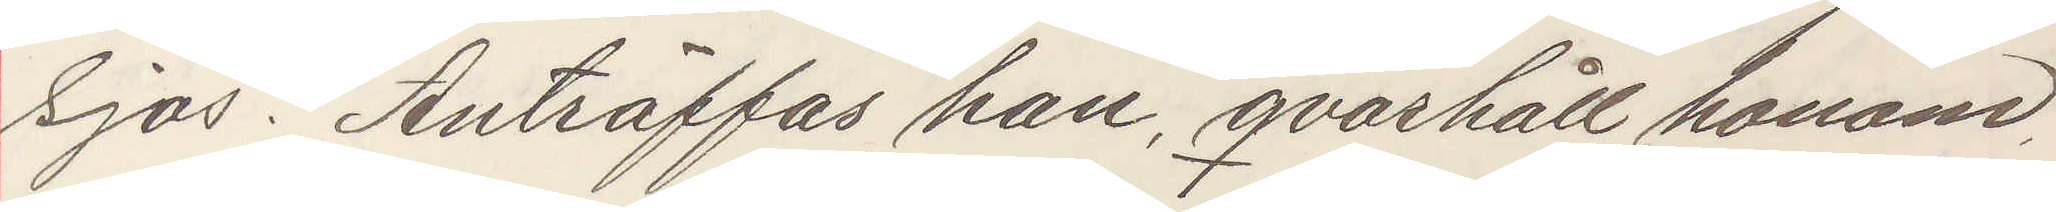sjös. Anträffas han qvarhåll honom,
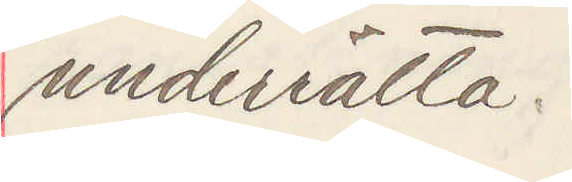underrätta.
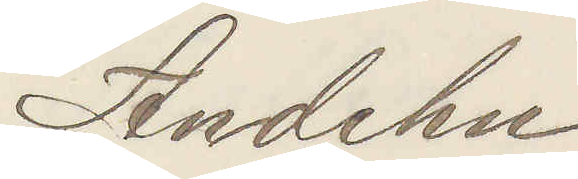Andehn
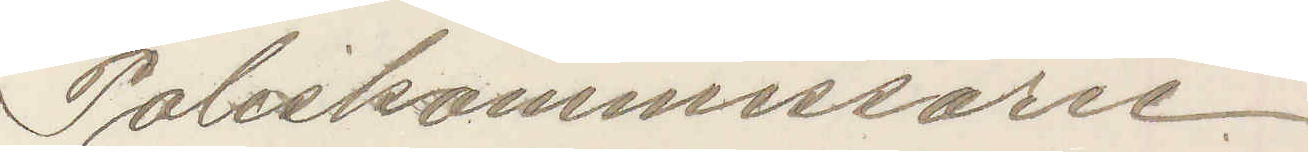Poliskommissarie.
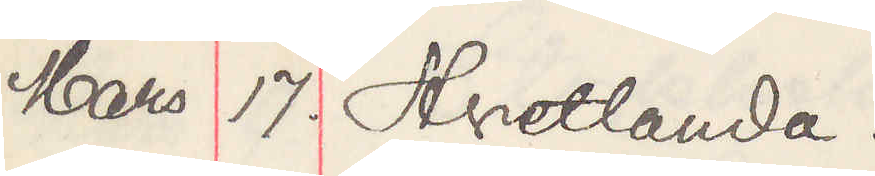Mars 17. Hvetlanda.
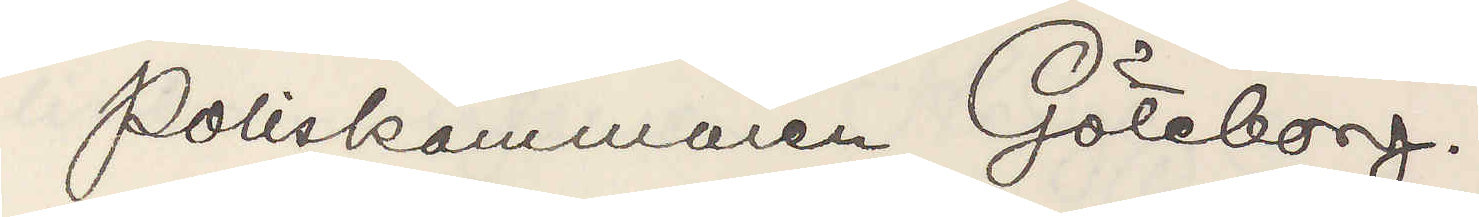Poliskammaren Göteborg.
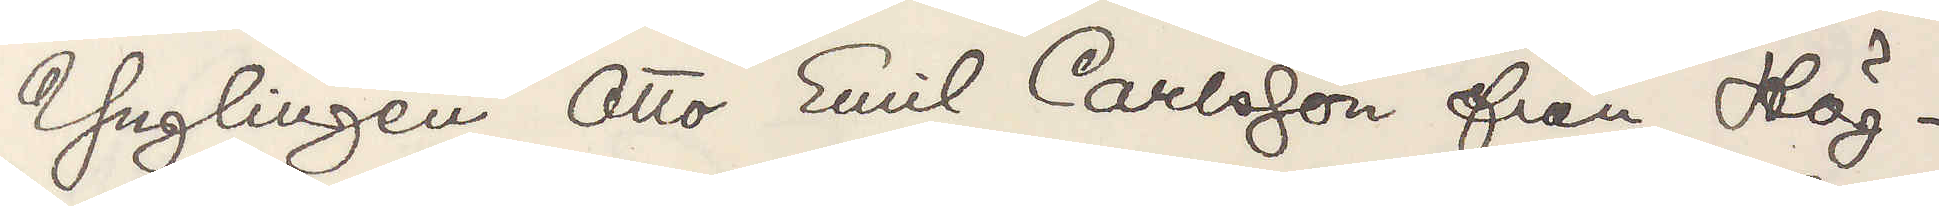Ynglingen Otto Emil Carlsson från Hög¬
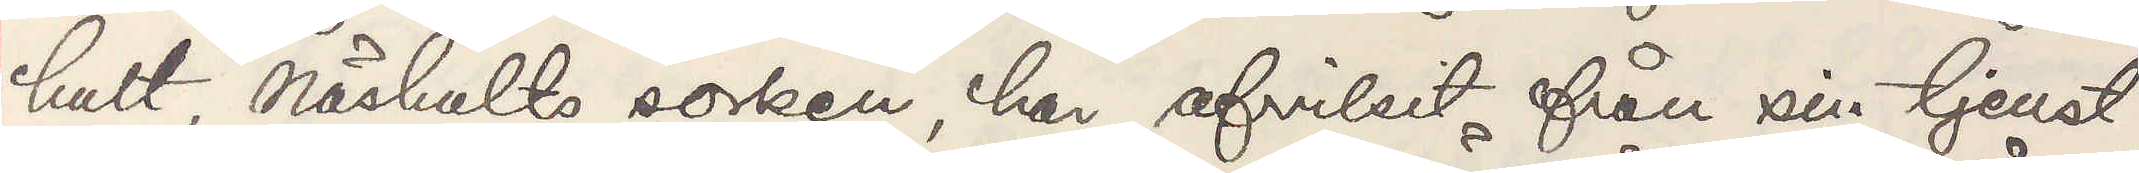hult, Näshults socken, har afvikit från sin tjemst
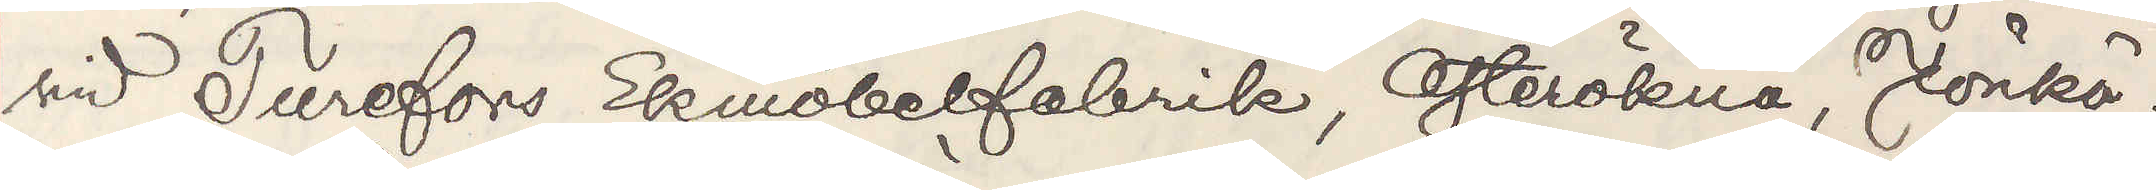vid Turefors Ekmöbelfabrik, Österökna, Jönkö¬
